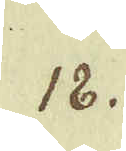18.
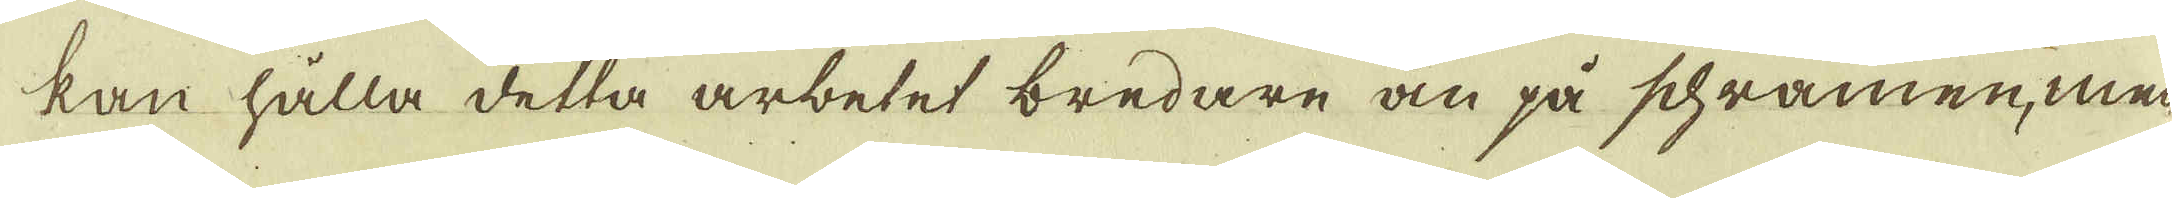kan hålla detta arbetet bredare än på schramen, men-
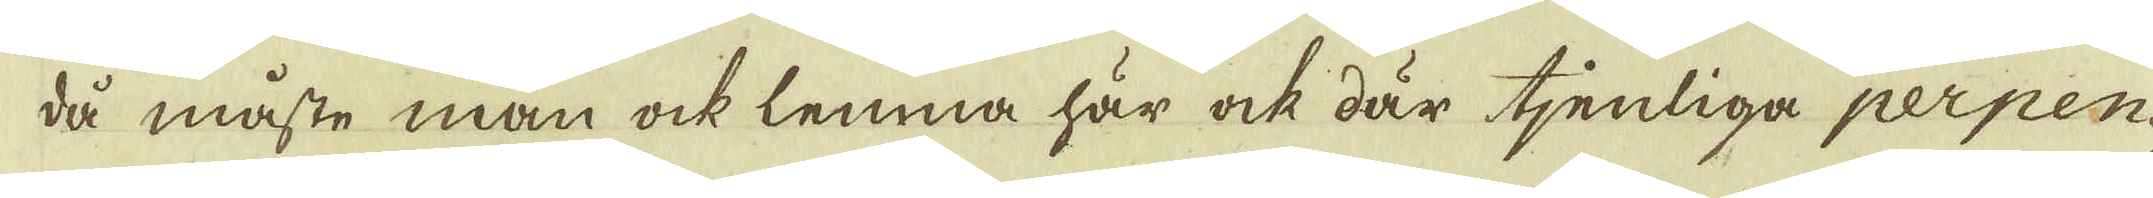då måste man ock lemna här ock där tjenliga perpen-
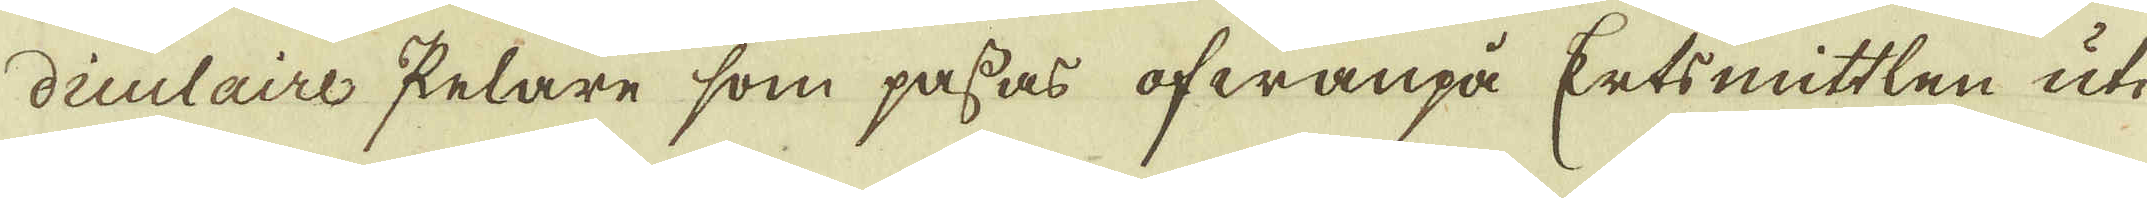diculaire Pelare som passas ofwanpå Ertsmittlen uti
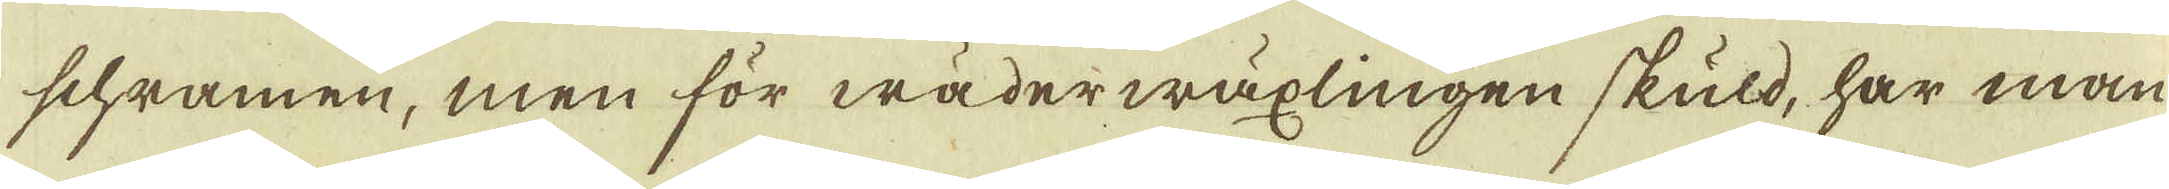schramen, men för wäderwäxlingen skuld, har man
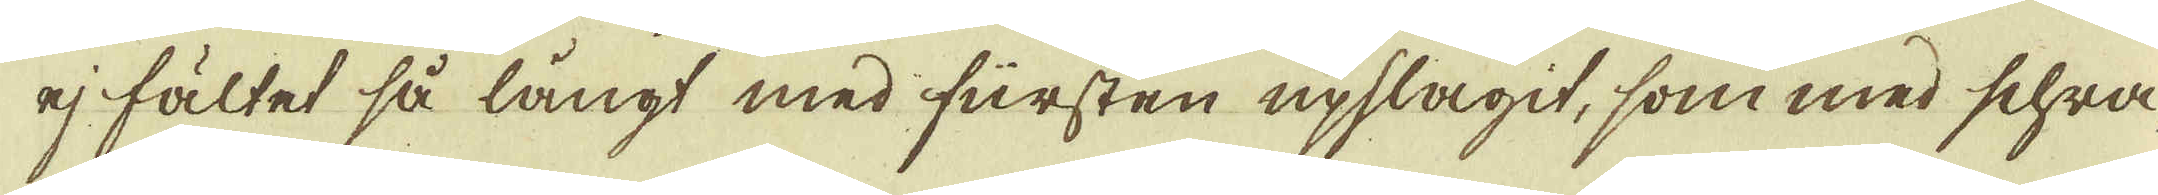ej fältet så långt med fursten upslagit, som med Schra-
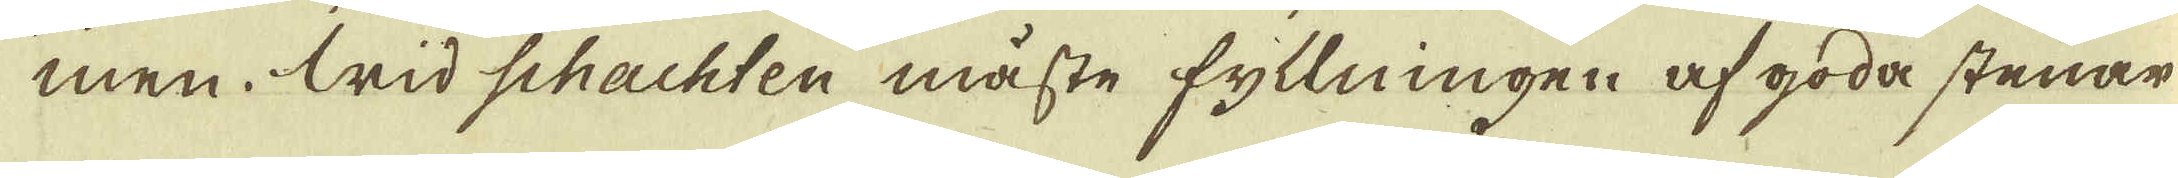men. Wid schachten måste fyllningen af goda stenar
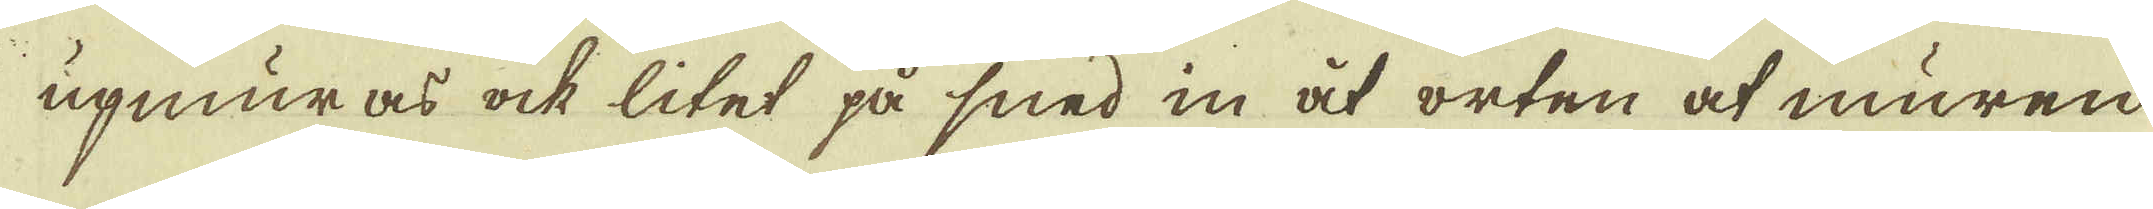upmuras ock litet på smed in åt orten at muren
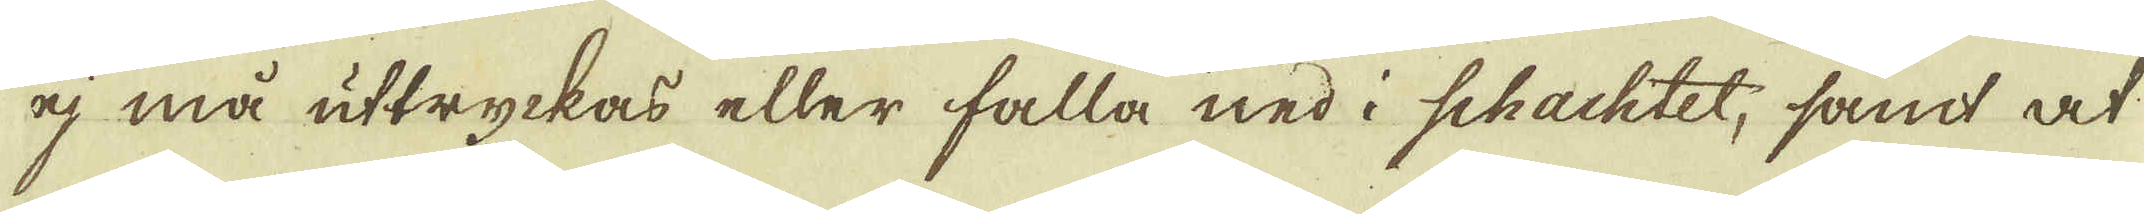ej må uttryckas eller falla ned i schachtet, samt at
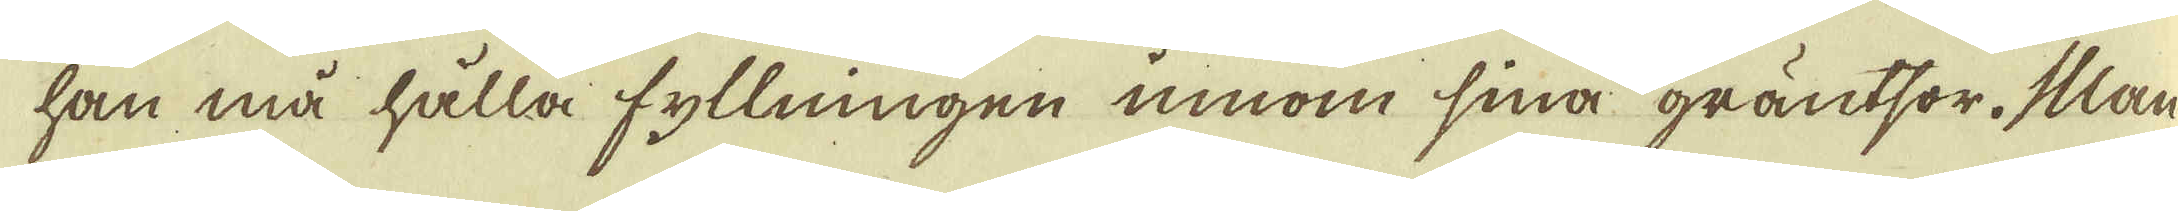han må hålla fyllningen innom sina gräntsor. Man
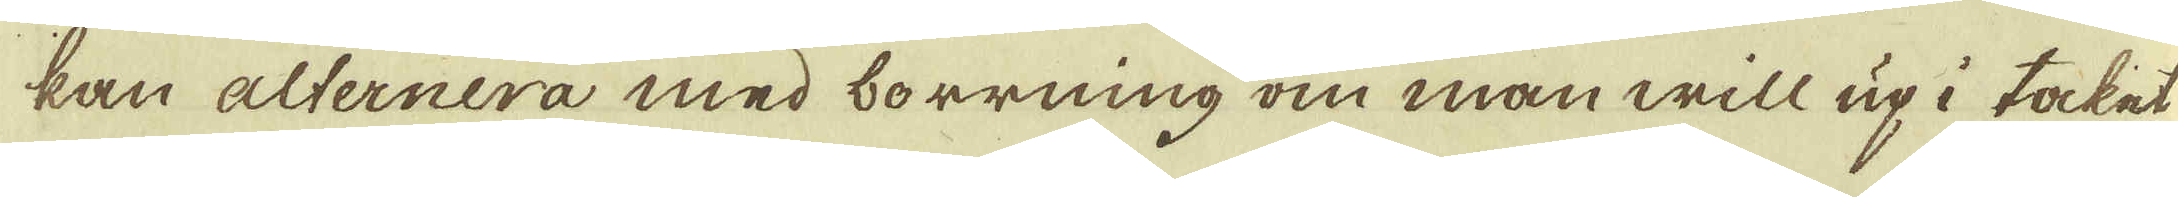kan alternera med borrning om man will up i taket
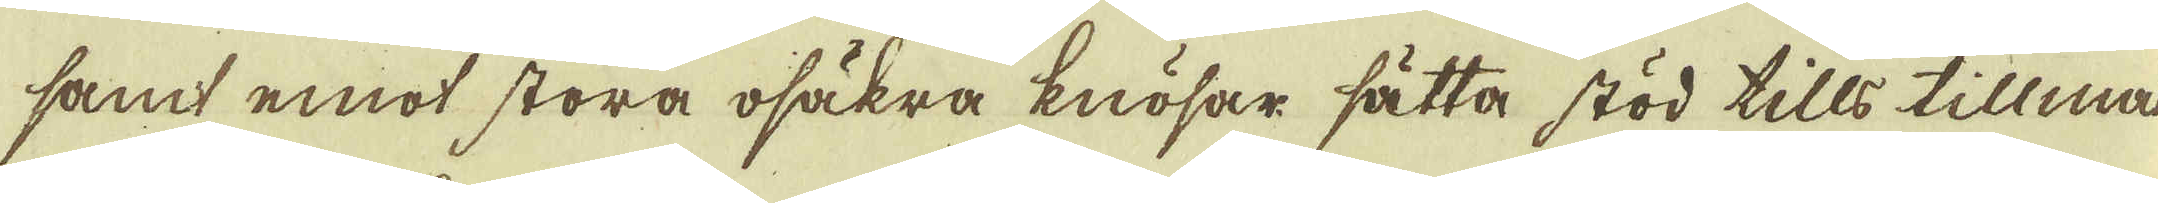samt emot stora osäkra knösar sätta stöd tills tillmak-
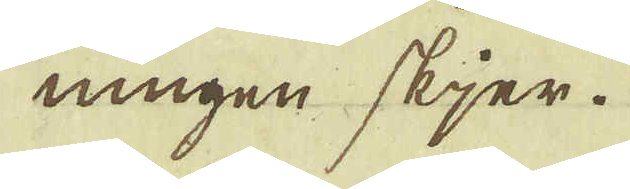ningen skjer.
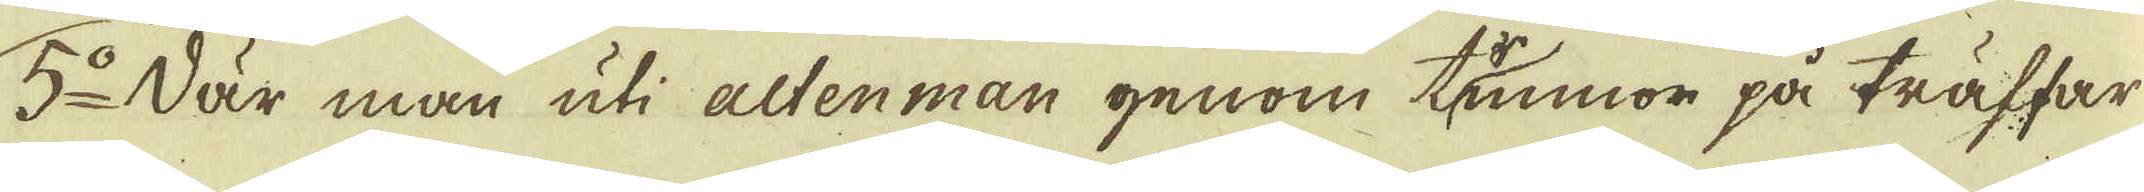5:o När man uti altenman genom tunnor på träffar
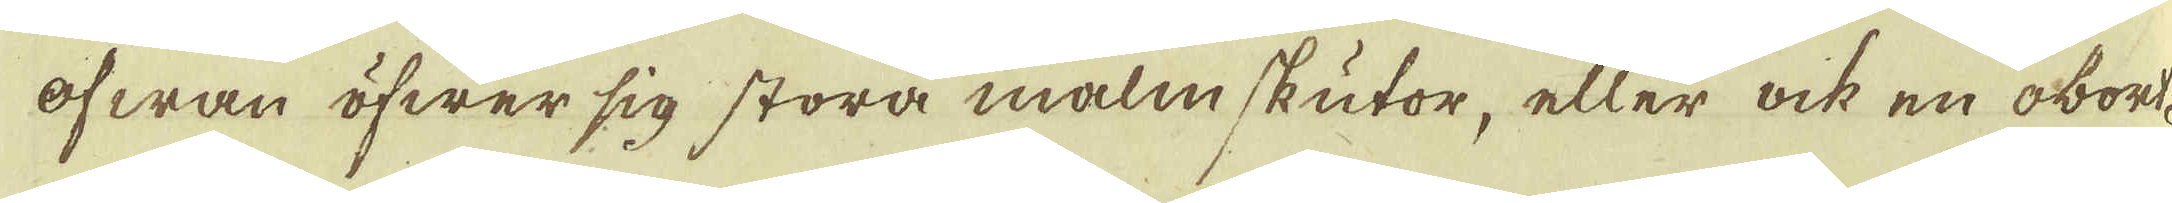ofwan öfwer sig stora malmskutor, eller ock en obort-
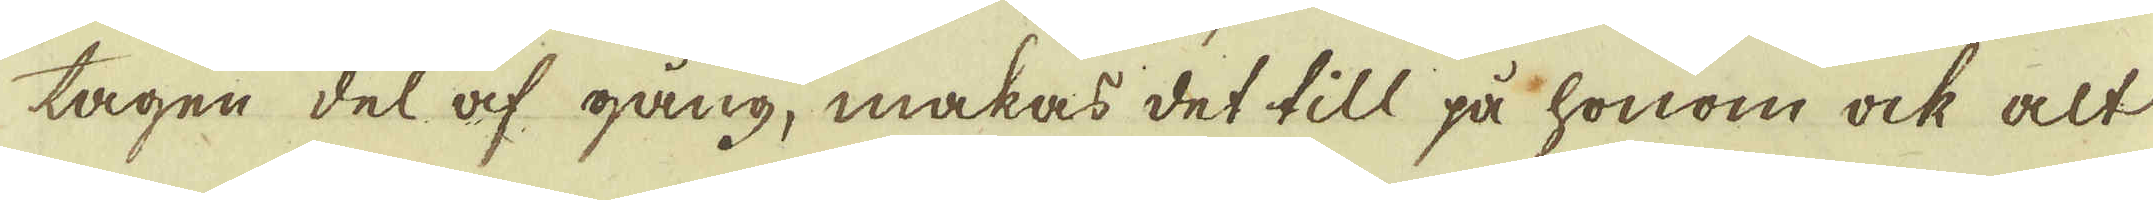tagen del af gång, makas det till på honom ock alt
